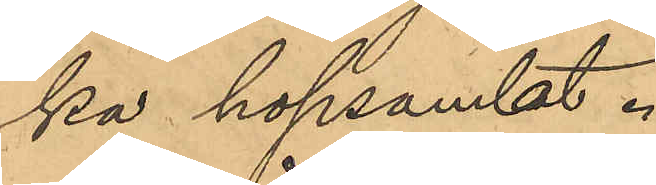ka hopsamlat.
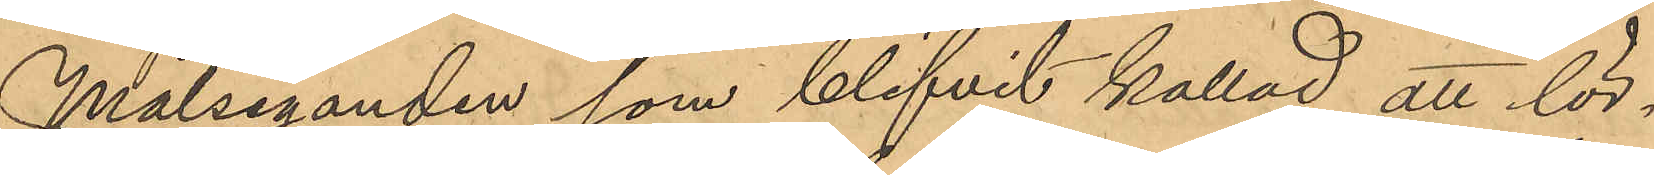Målseganden som blifvit kallad att lör¬
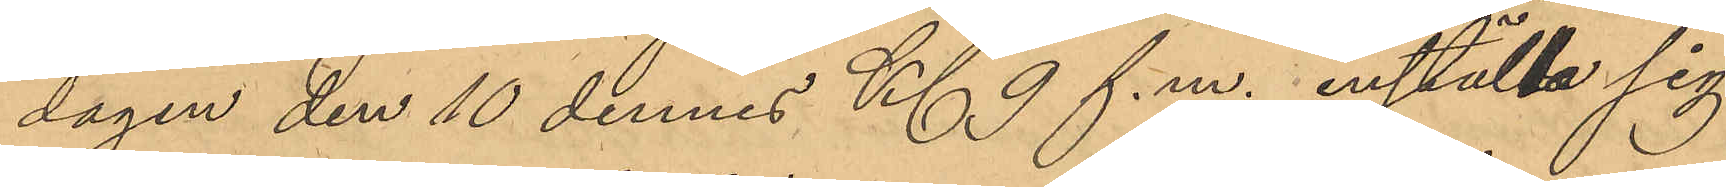dagen den 10 dennes Kl 9 f.m. inställa sig
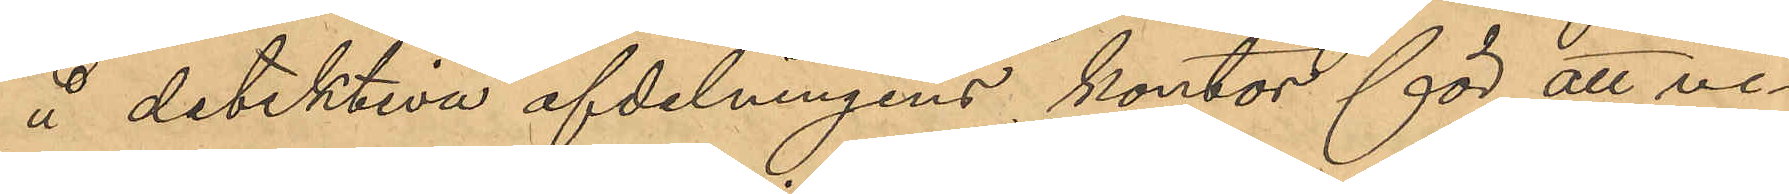å detektiva afdelningens kontor för att vi¬
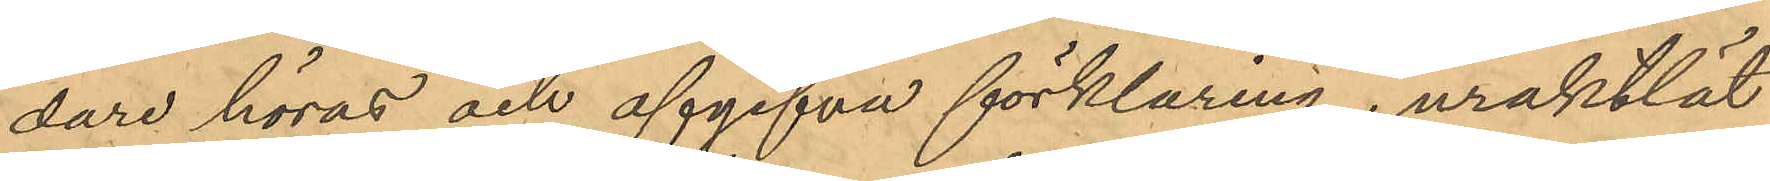dare höras och afgifva förklaring, uraktlät
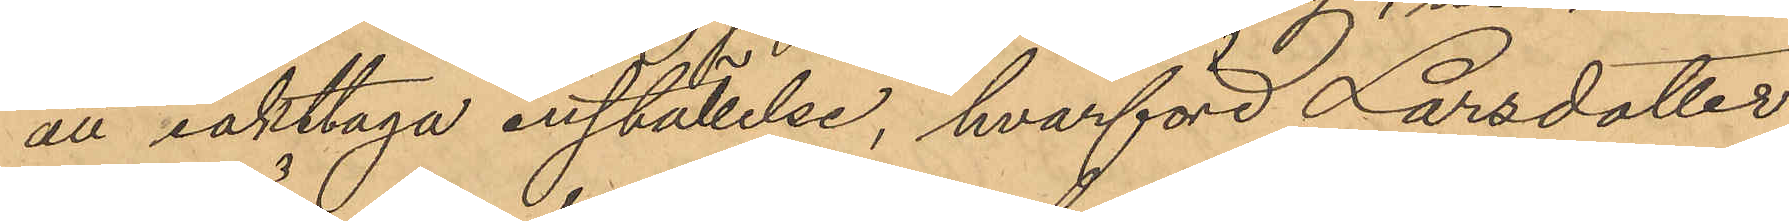att iakttaga inställelse, hvarföre Larsdotter
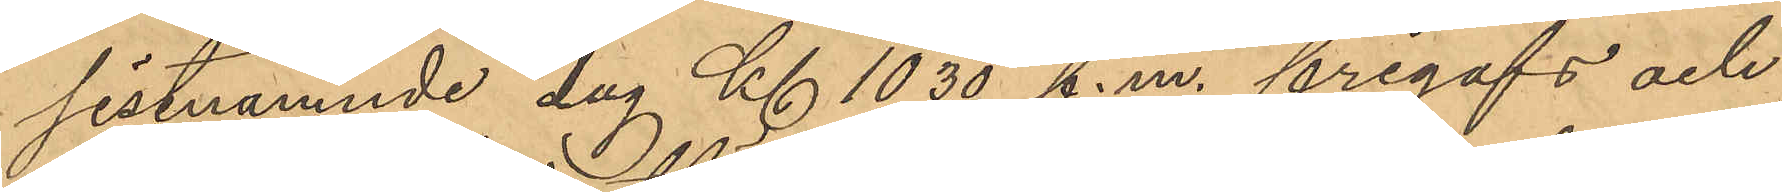sistnämnde dag Kl 10,30 f.m. frigafs och
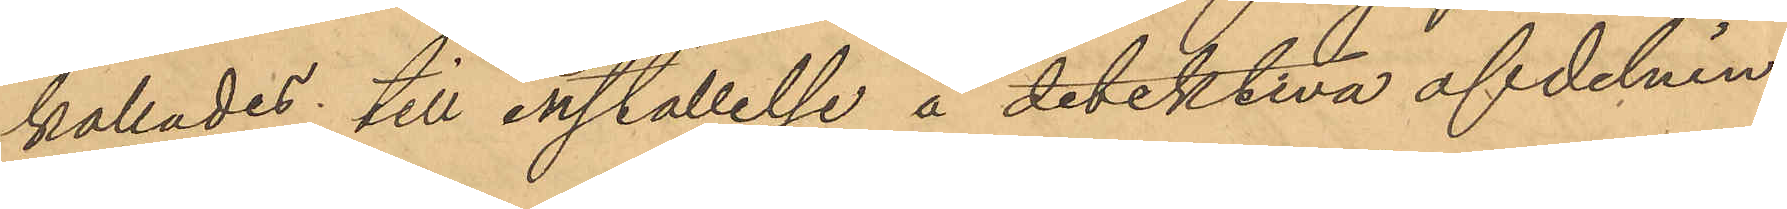kallades till inställelse å detektiva afdelnin¬
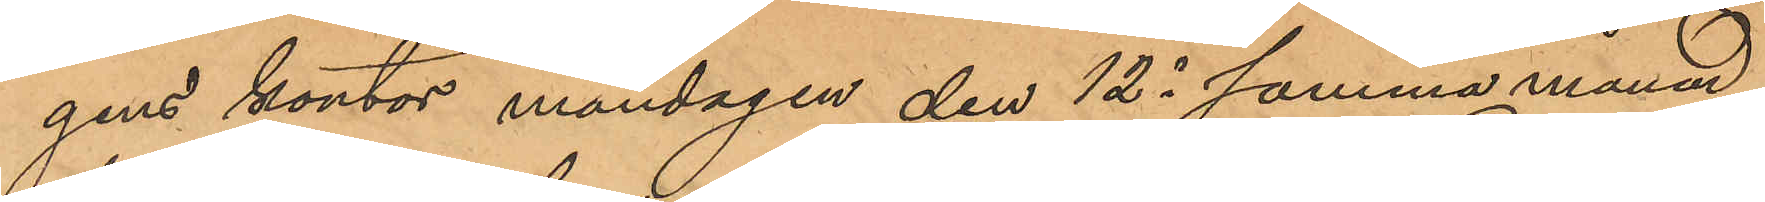gens kontor måndagen den 12 i samma månad
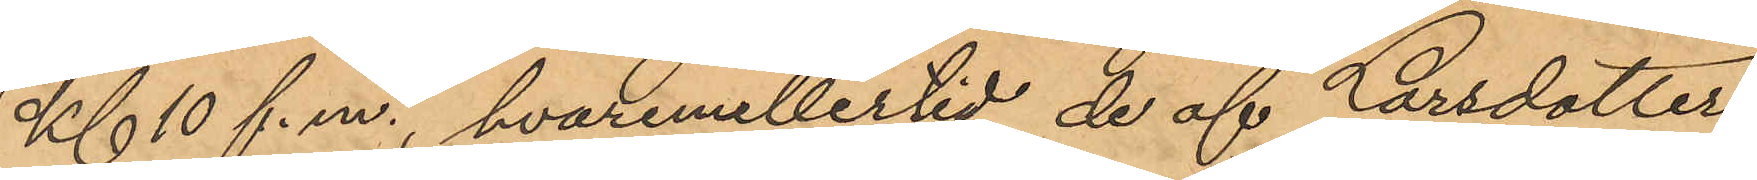Kl 10 f.m., hvaremellertid de af Larsdotter
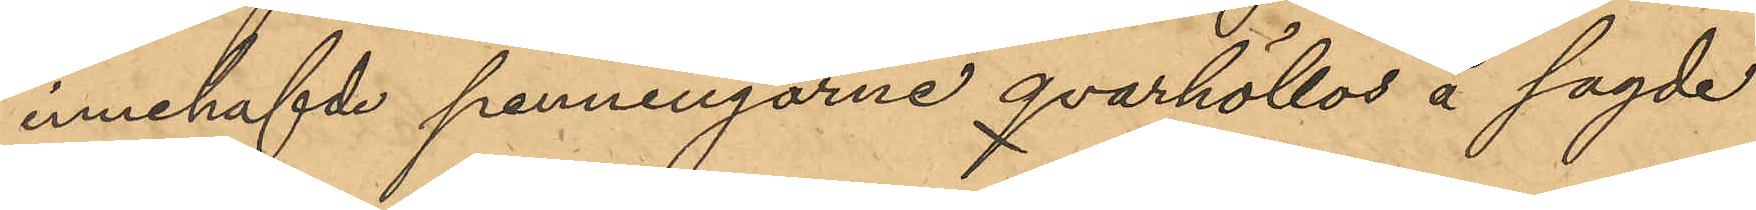innehafde penningarne qvarhöllos å sagde
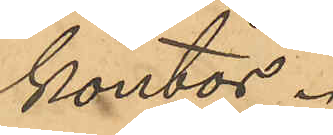kontor.
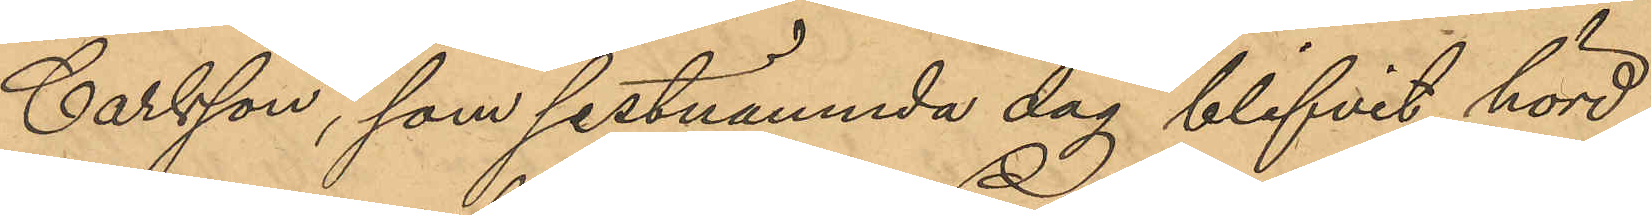Carlsson, som sistnämnda dag blifvit hörd
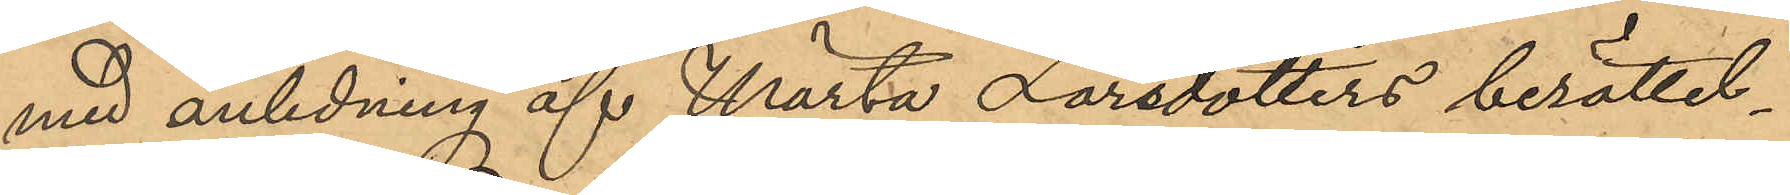med anledning af Märta Larsdotters berättel¬
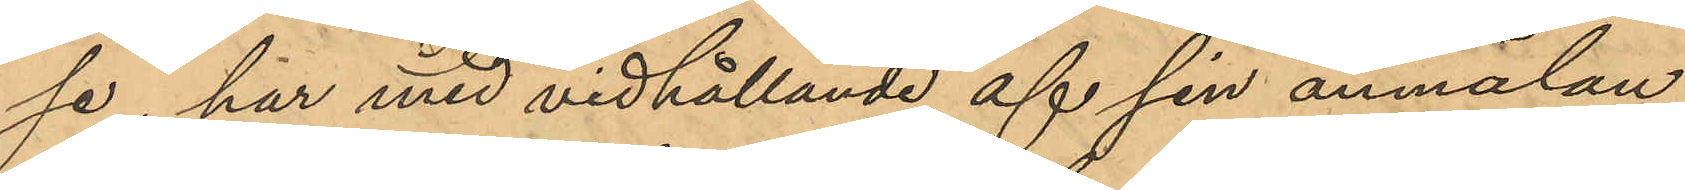se, har med vidhållande af sin anmälan
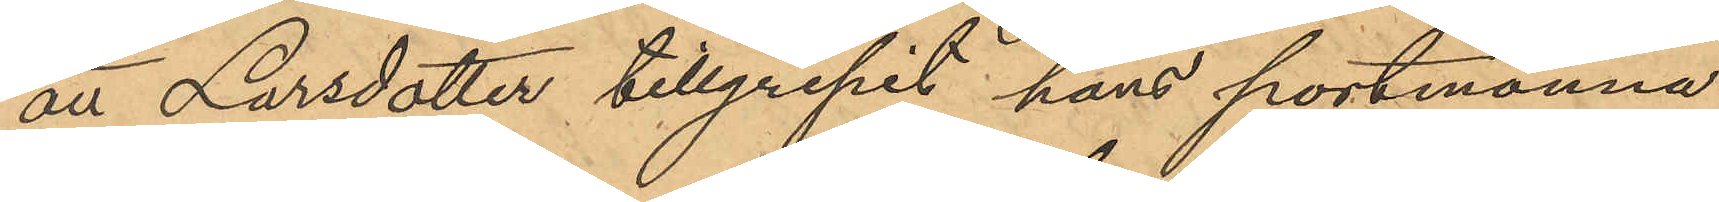att Larsdotter tillgripit hans portmonnä
